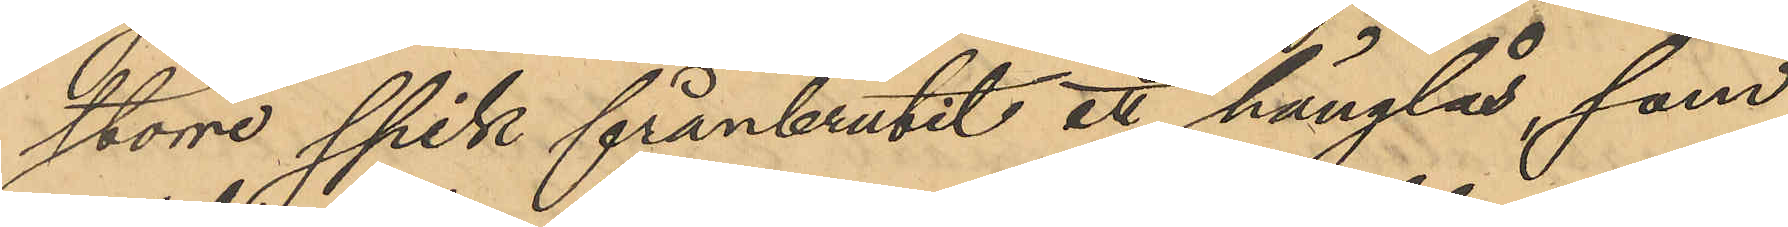större spik frånbrutit ett hänglås, som
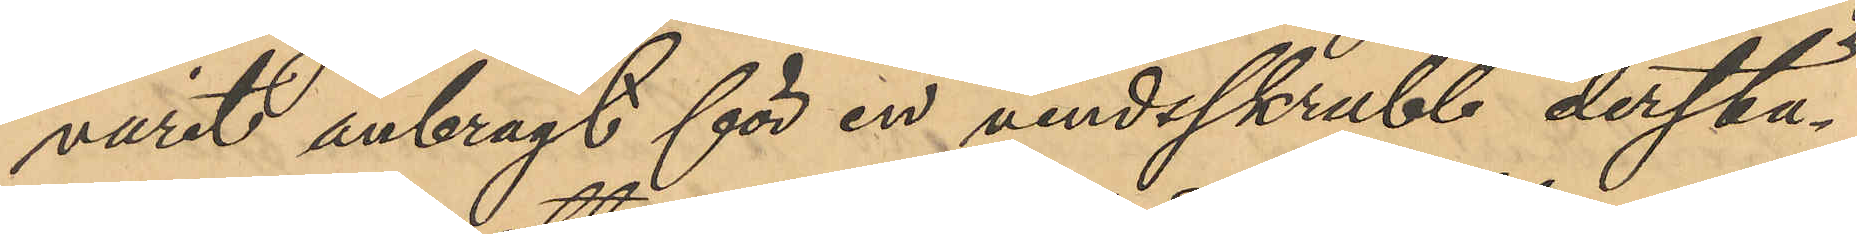varit anbragt för en vindsskrubb derstä¬
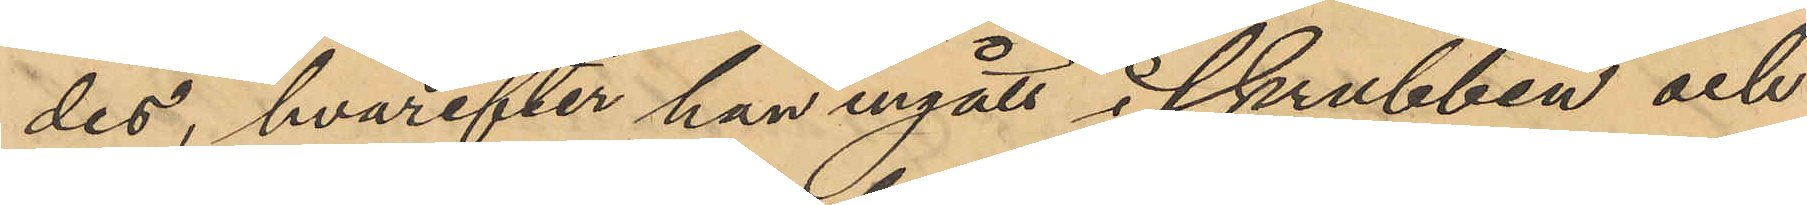des, hvarefter han ingått i skrubben och
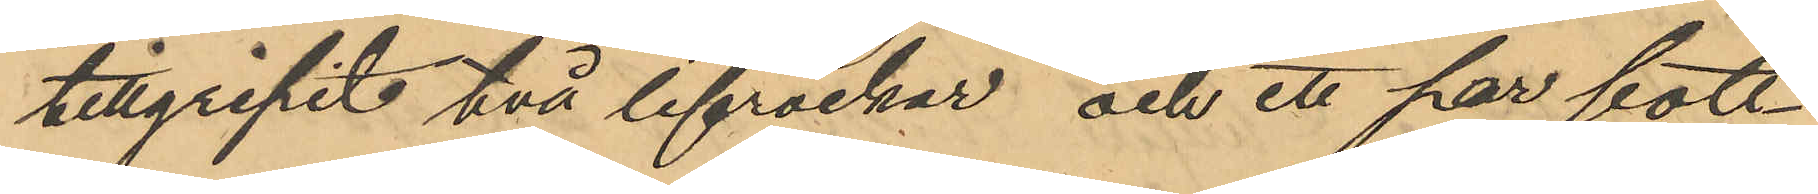tillgripit två lifrockar och ett par bott¬
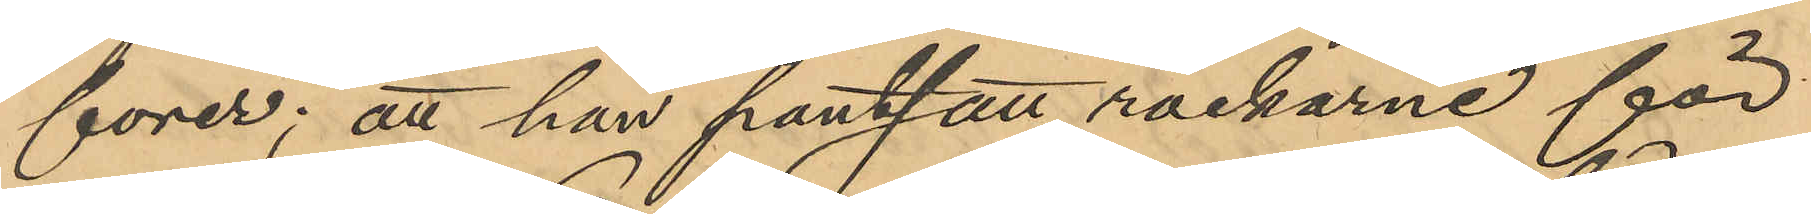forer; att han pantsatt rockarne för
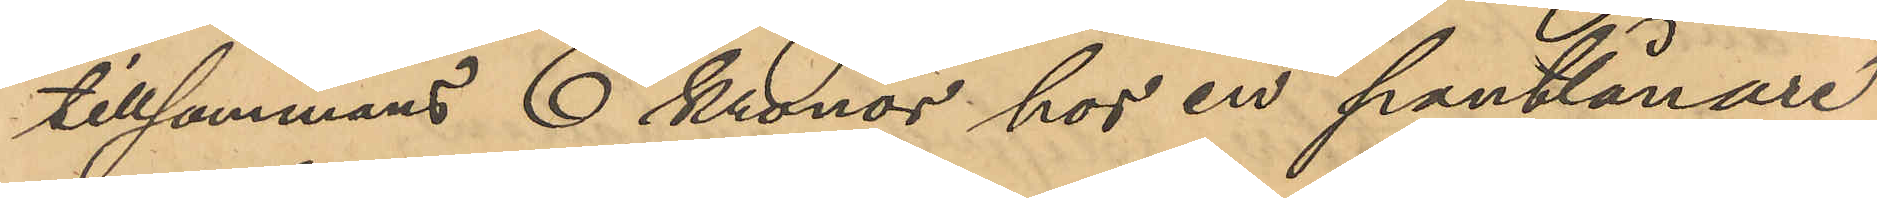tillsammans 6 Kronor hos en pantlånare
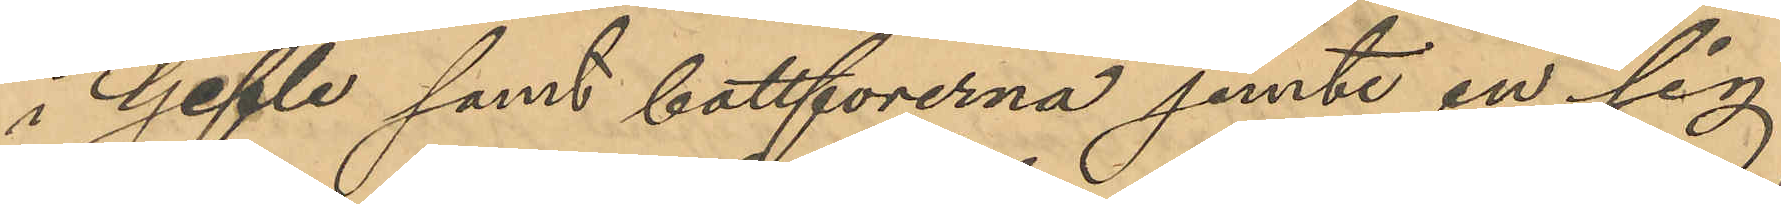i Gefle samt bottforerna jemte en sig
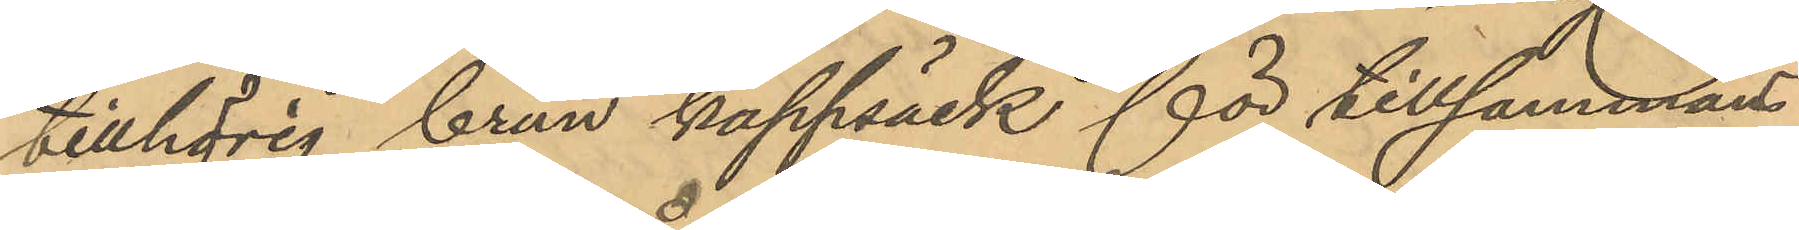tillhörig brun kappsäck för tillsammans
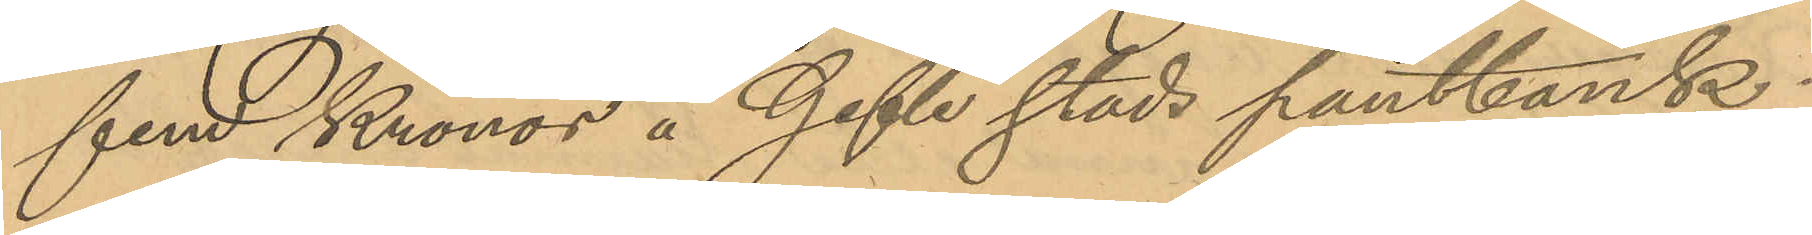fem Kronor å Gefle stads pantbank;
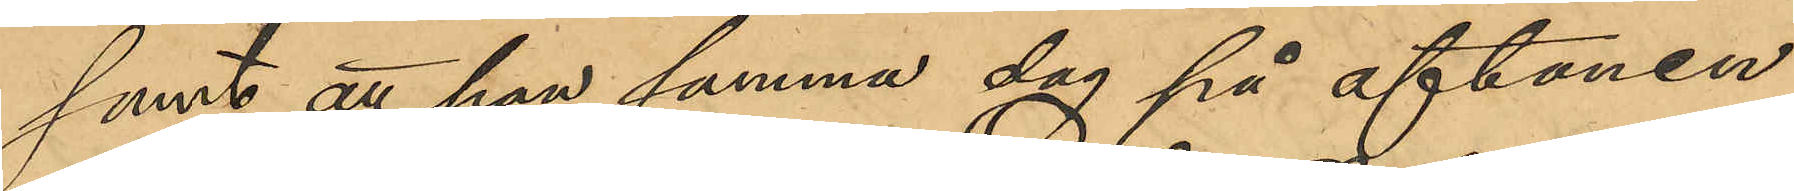samt att han samma dag på aftonen
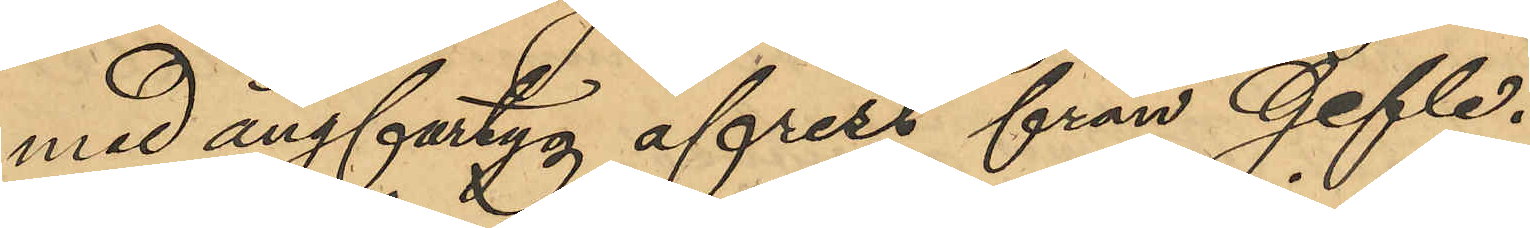med ångfartyg afrest från Gefle.
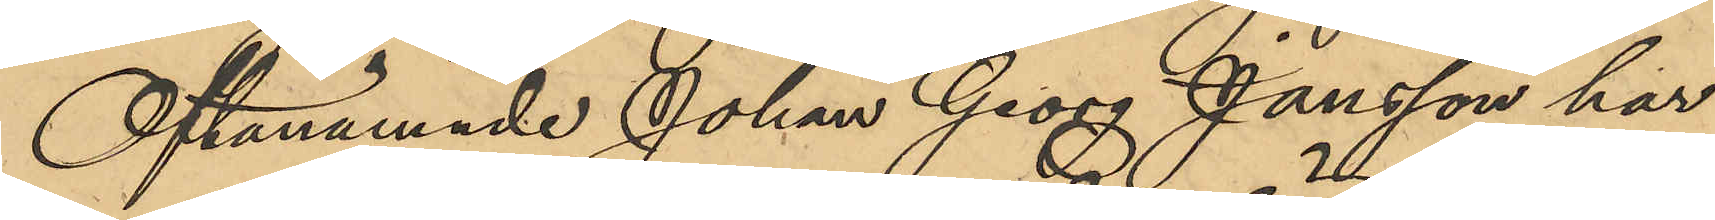Oftanämnde Johan Georg Jansson har
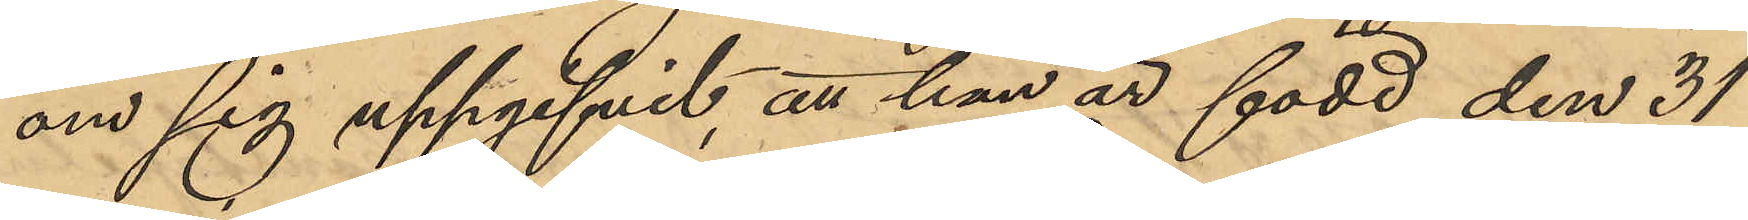om sig uppgifvit, att han är född den 31
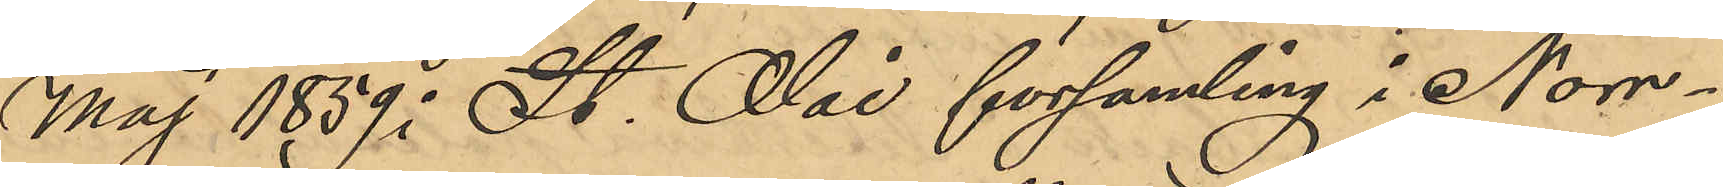Maj 1859 i St. Olai församling i Norr¬
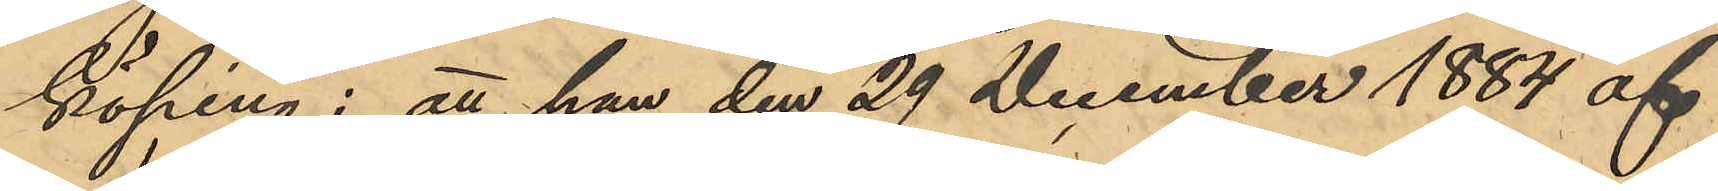köping; att han den 29 December 1884 af
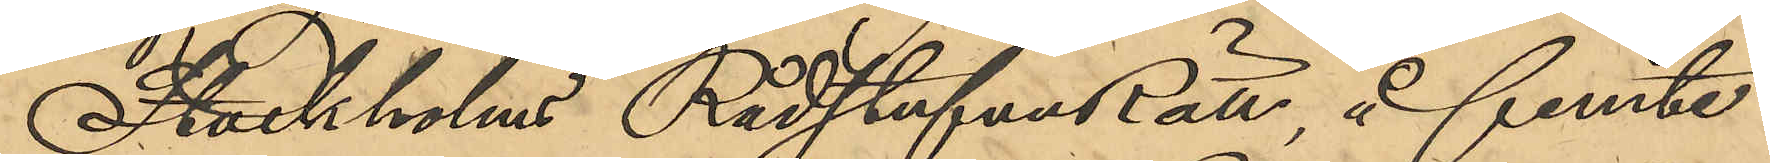Stockholms RådstufvuRätt, å femte
